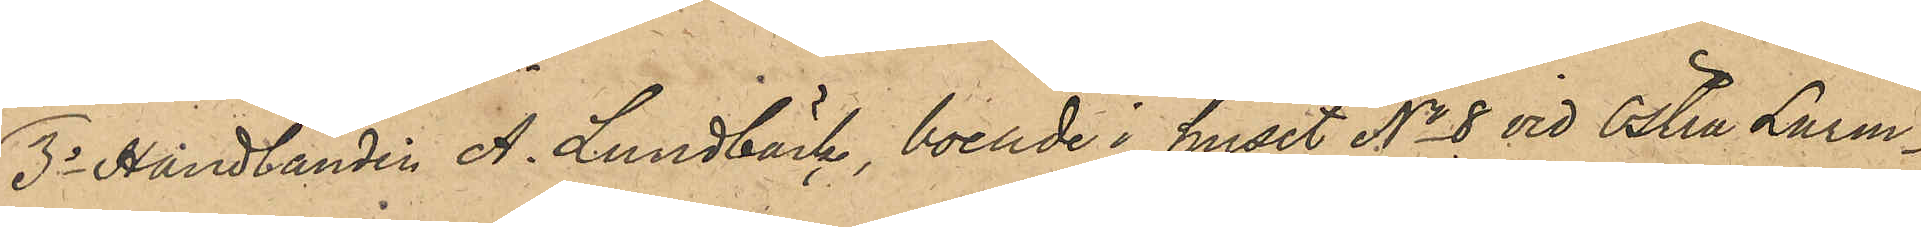3o handlanden  A. Lundbäck, boende i huset No 8 vid Östra Larm¬
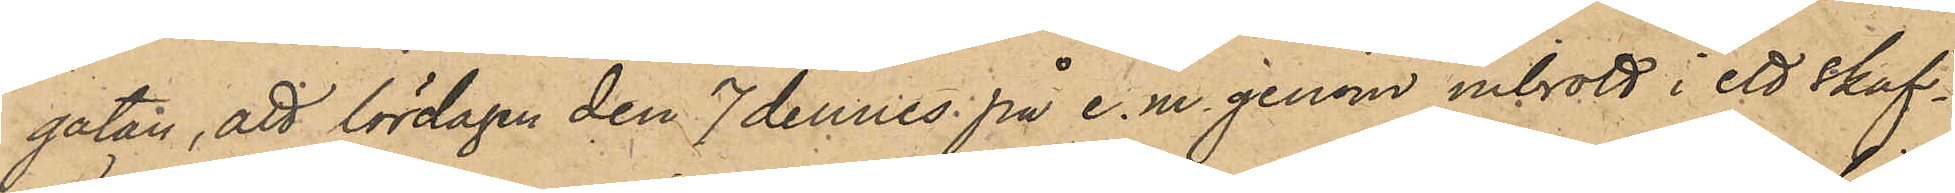gatan, att lördagen den 7 dennes på e.m. genom inbrott i ett skaf¬
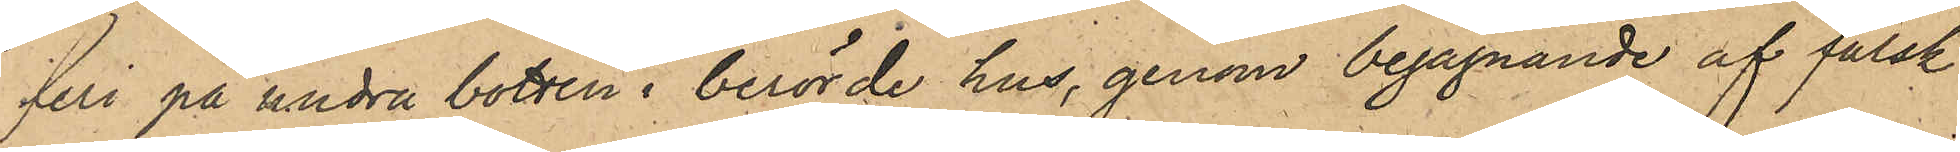feri på undra botten i berörde hus, genom begagnande af falsk
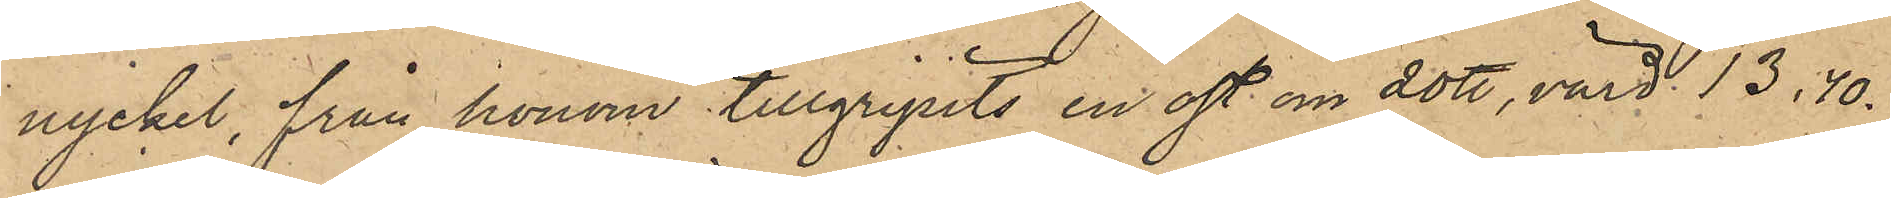nyckel, från honom tillgripits en ost om 20 ℔, värd 13,40.
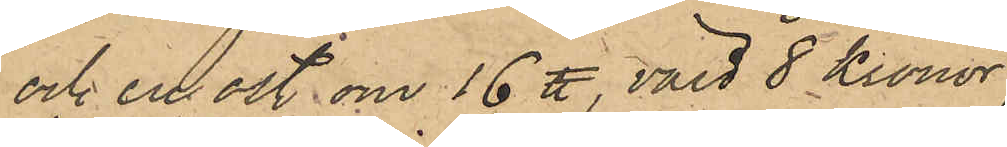och en ost om 16 ℔, värd 8 kronor;
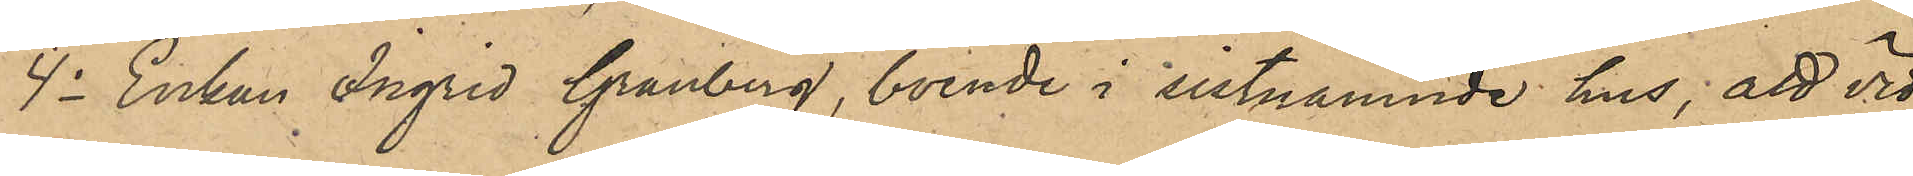4o Enkan Ingrid Granberg, boende i sistnämnde hus, att vid
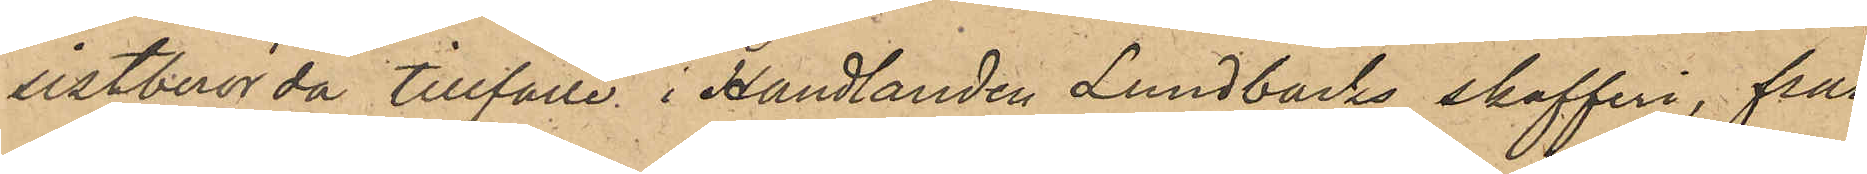sistberörda tillfälle i Handlanden Lundbäcks skafferi, från
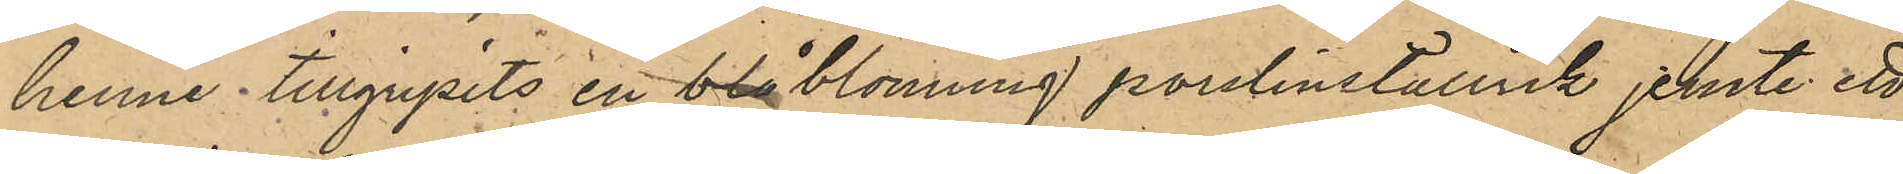henne tillgripits en blå blommig porslinstallrik jemte ett
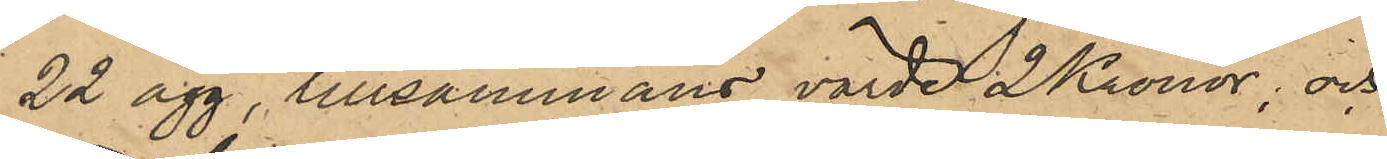22 ägg, tillsammans värde 2 Kronor, och
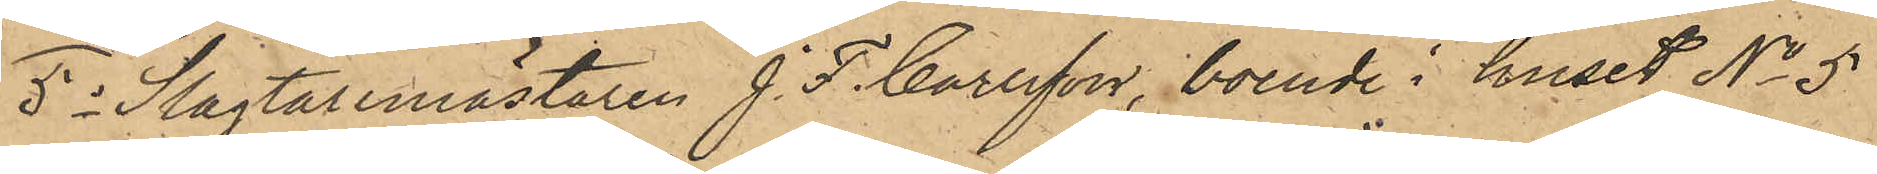5o Slagtaremästaren J. F. Carlsson, boende i huset No 5
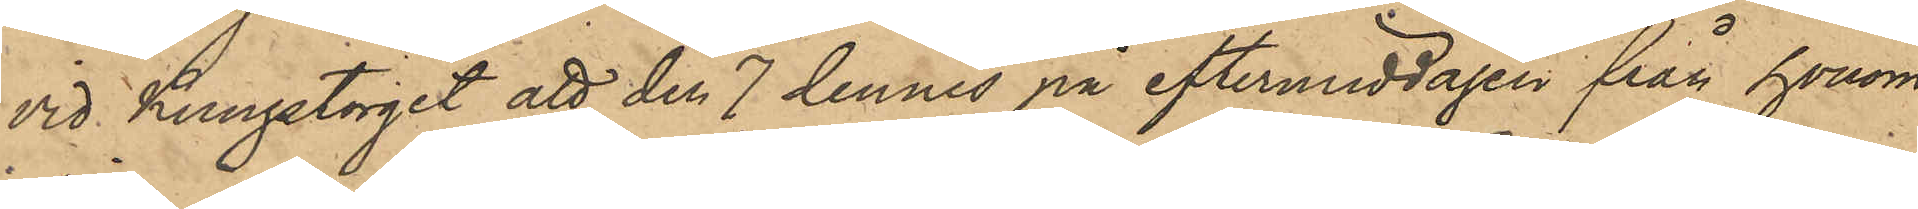vid Kungstorget, att den 7 dennes på eftermiddagen från honom
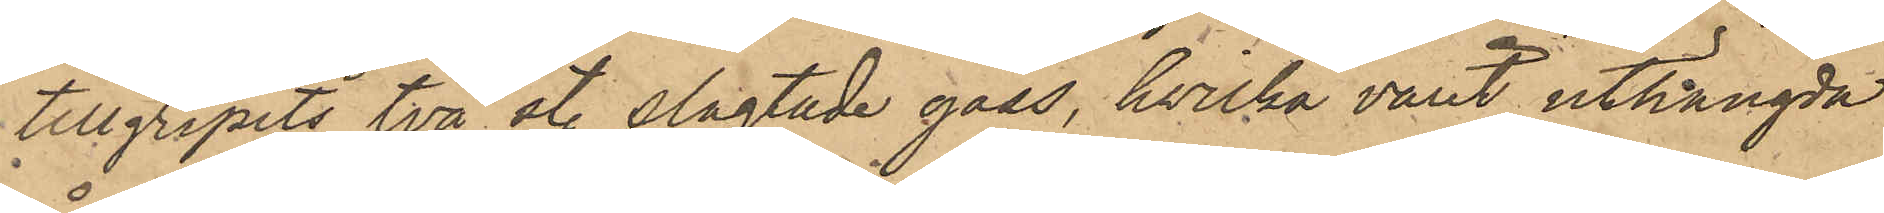tillgripits två st. slagtade gäss, hwilka varit uthängda
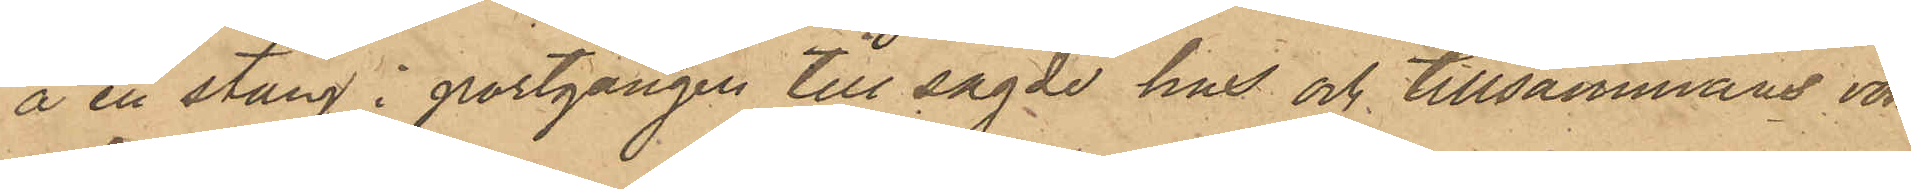å en stång i portgången till sagde hus och tillsammans voro
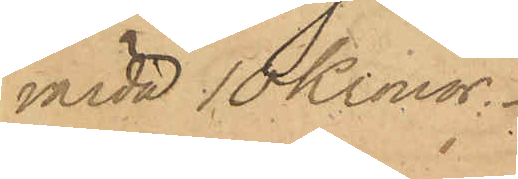värda 10 Kronor.
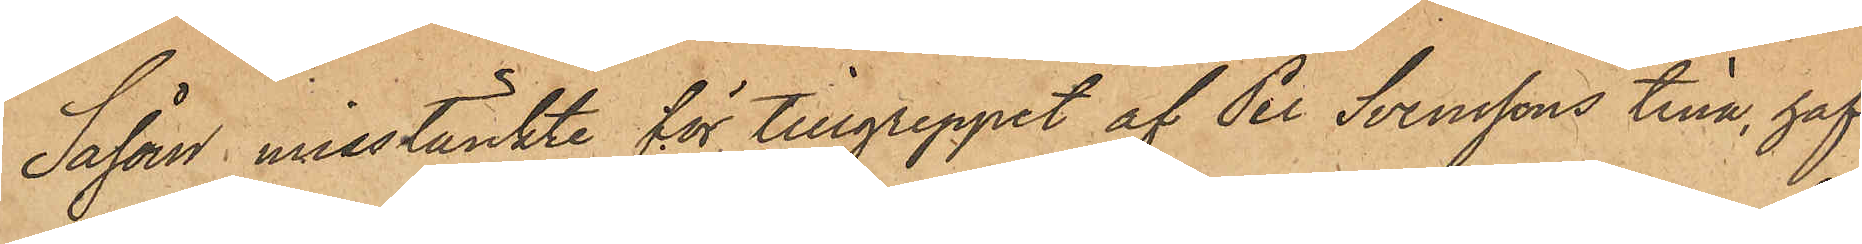Såsom misstänkt för tillgreppet af Per Svenssons tina, haf¬
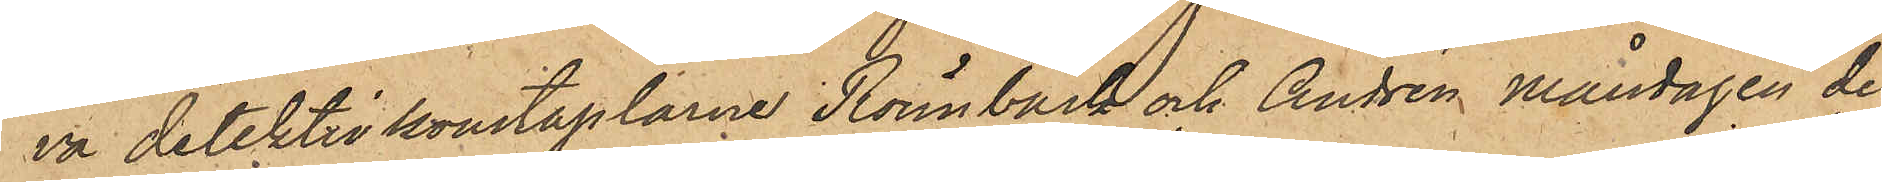va detektivkonstaplarne Rönnbäck och Andrén Måndagen den
